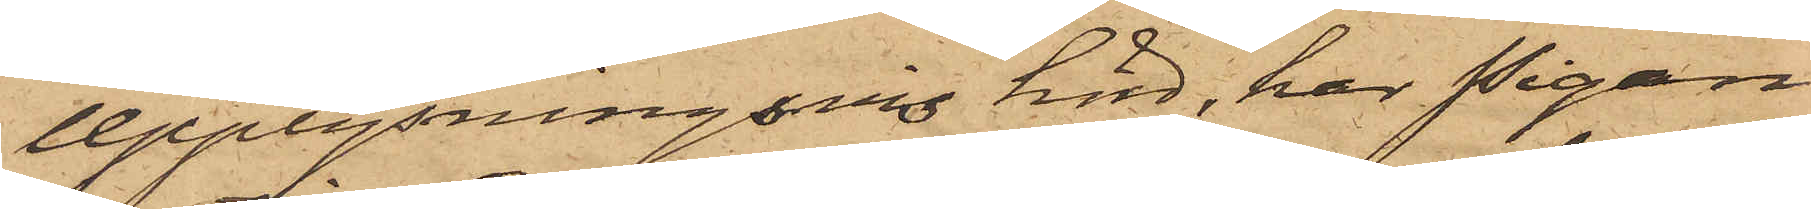Upplysningsvis hörd, har Pigan
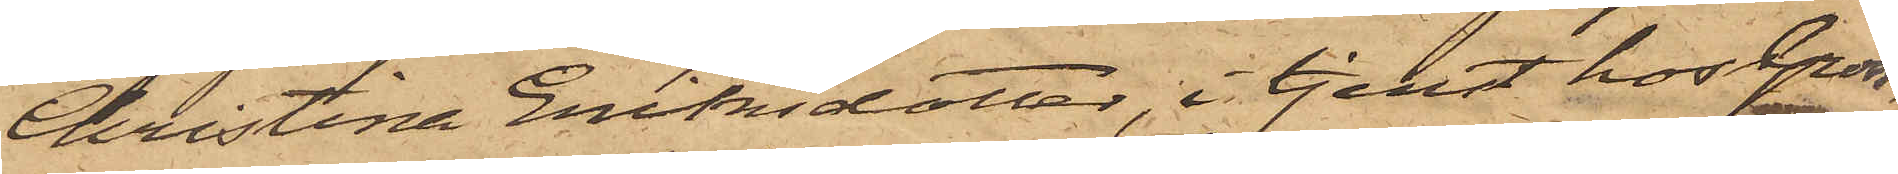Christina Eriksdotter, i tjenst hos Gross¬
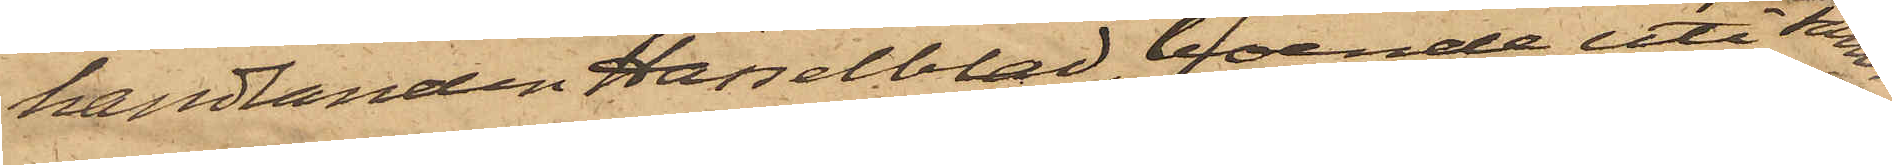handlanden Hasselblad, boende uti sam¬
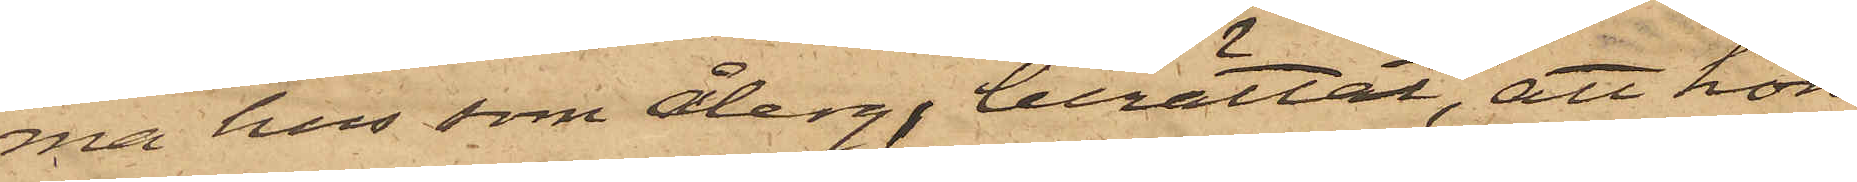ma hus som Åberg, berättat, att hon
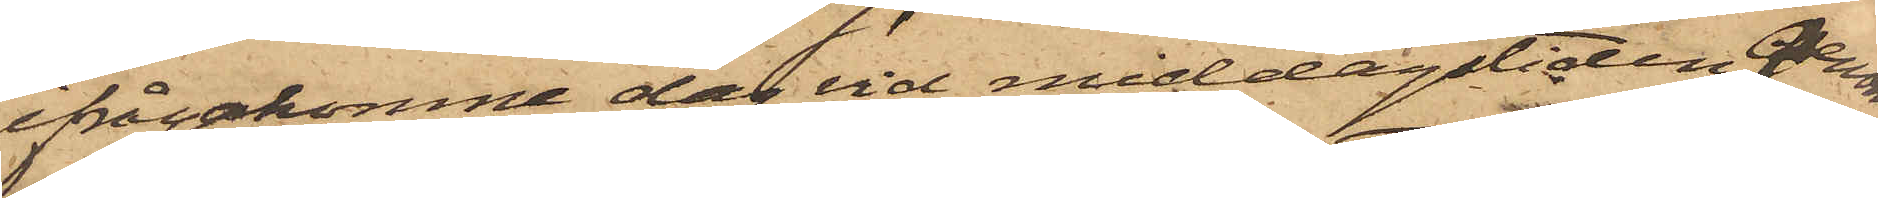ifrågakomne dag vid middagstiden genom
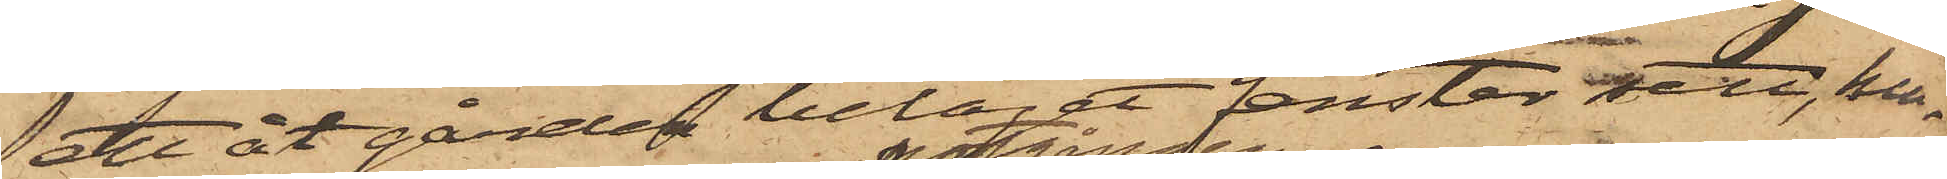ett åt gården beläget fenster sett, hu¬
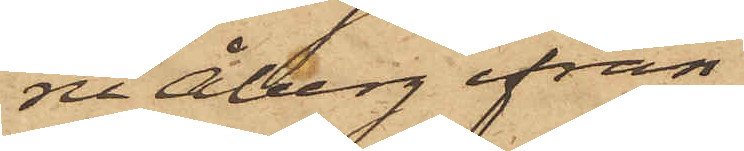ru Åberg ifrån
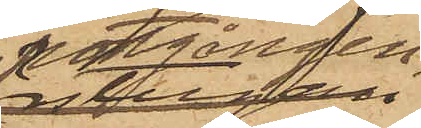portgången
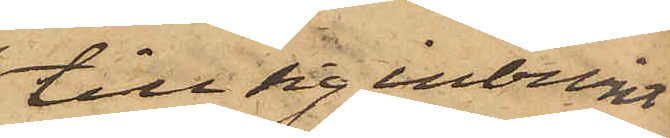till sig inburit
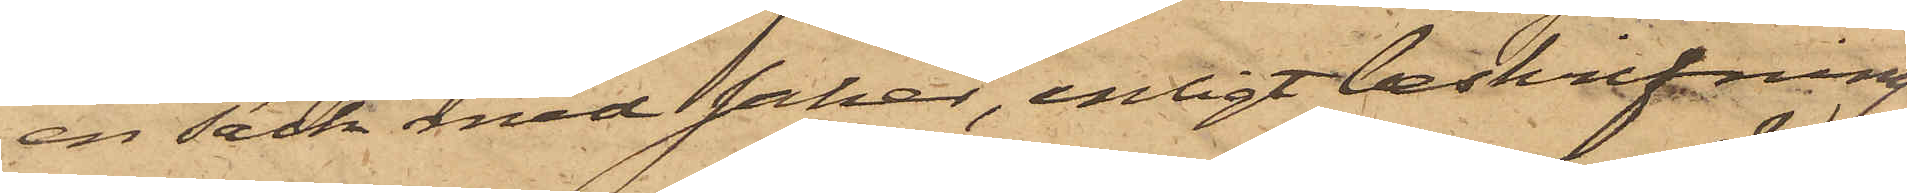en säck med saker, enligt beskrifning
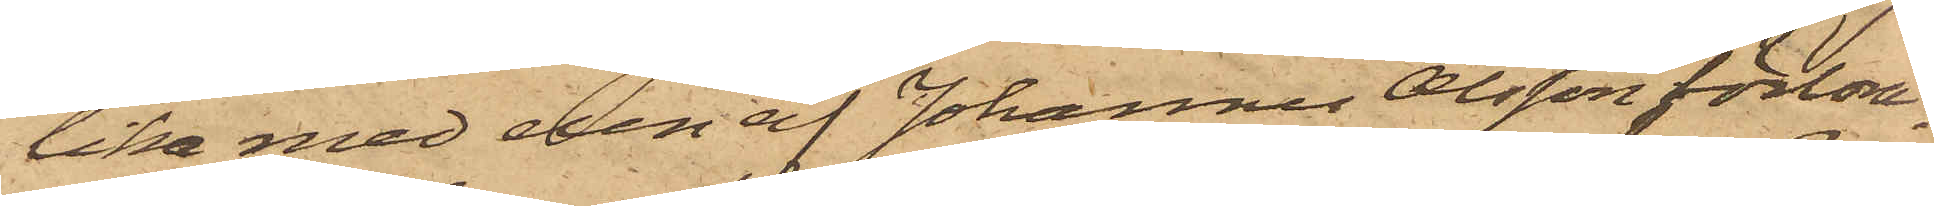lika med den af Johannes Olsson förlora¬
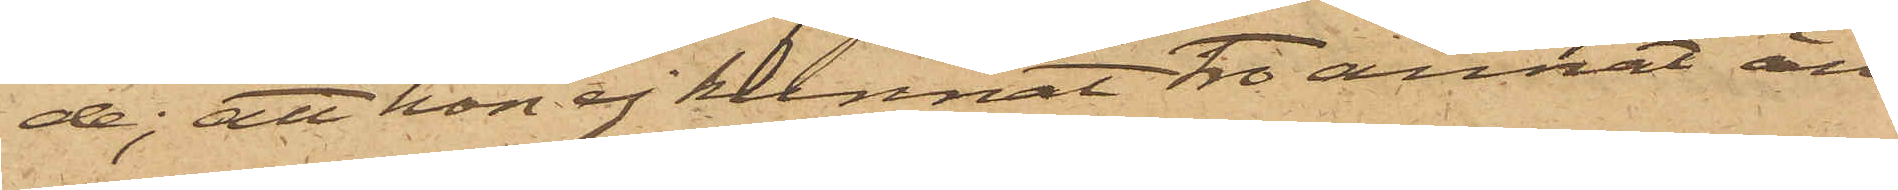de; att hon ej kunnat tro annat än
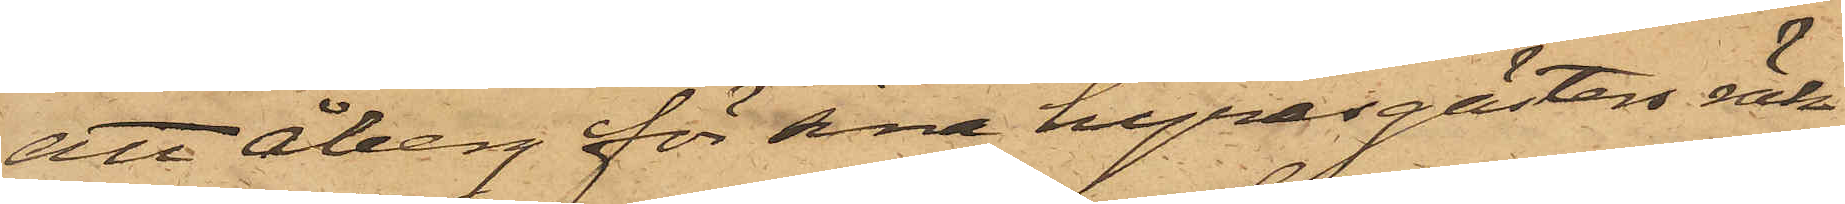att Åberg för sina hyresgästers räk¬
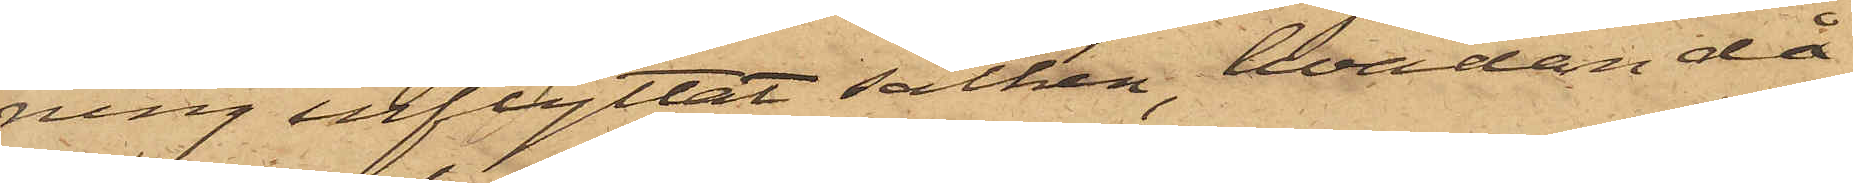ning inflyttat säcken, hvadan då
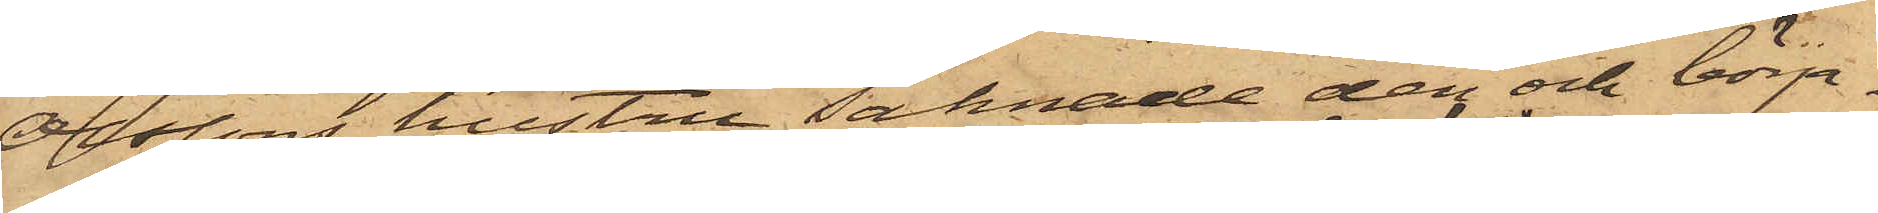Olssons hustru saknade den och börja¬
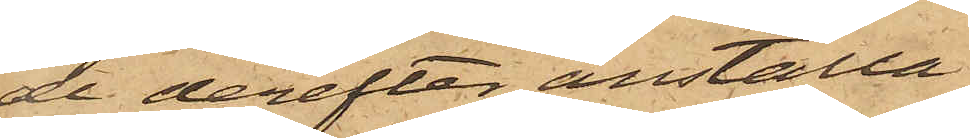de derefter anställa
